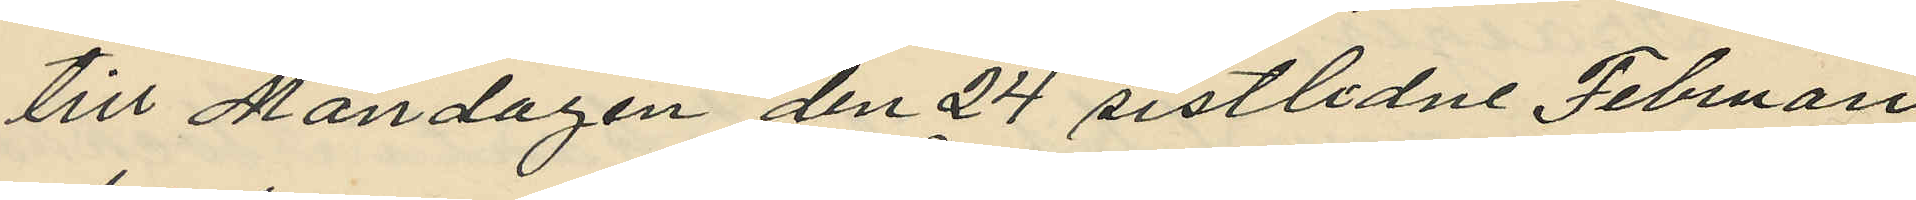till Måndagen den 24 sistlidne Februari
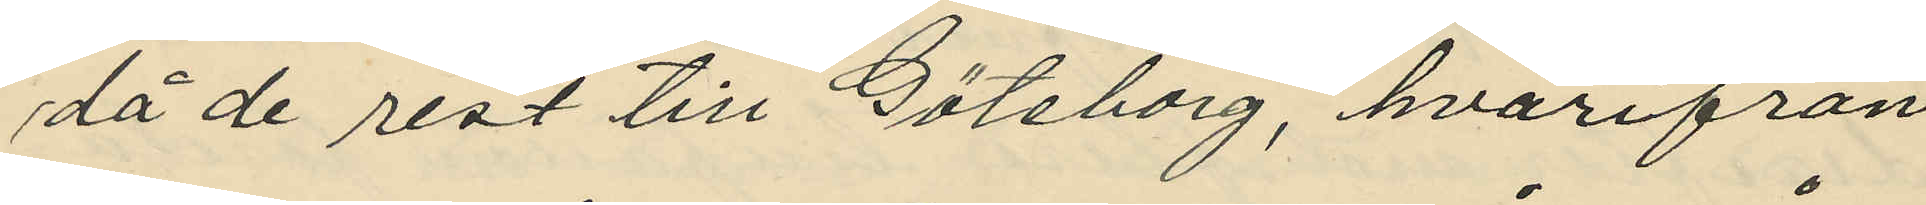då de rest till Göteborg, hvarifrån
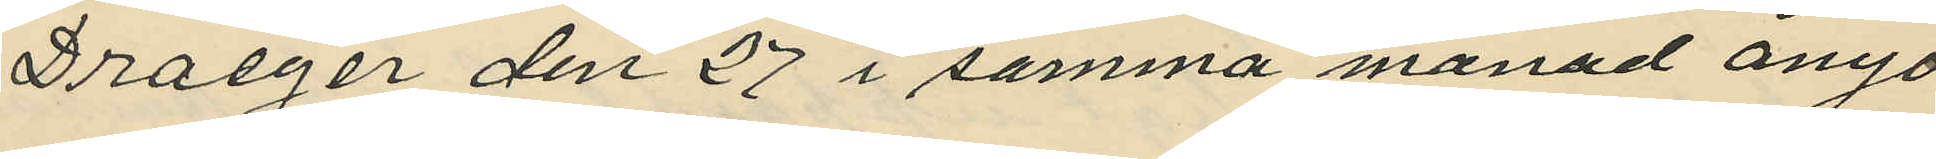Draeger den 27 i samma månad ånyo
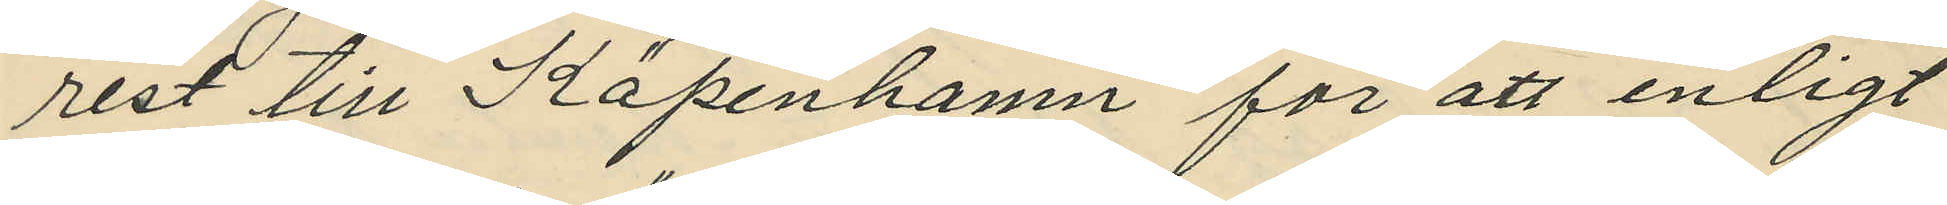rest till Köpenhamn för att enligt
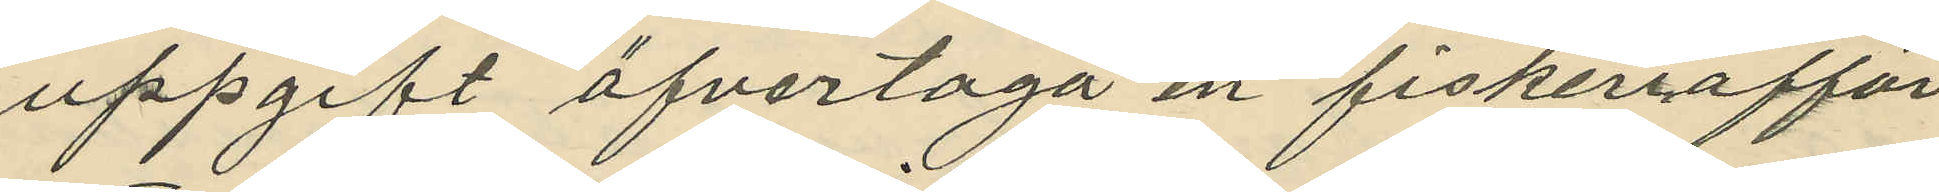uppgift öfvertaga en fiskeriaffär,
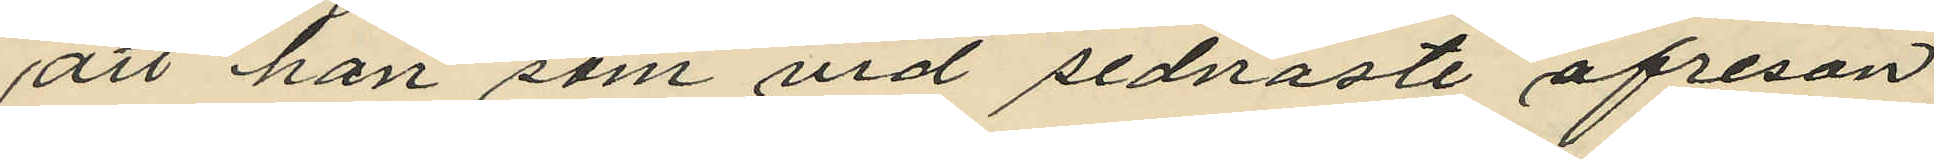att han som vid sednaste afresan
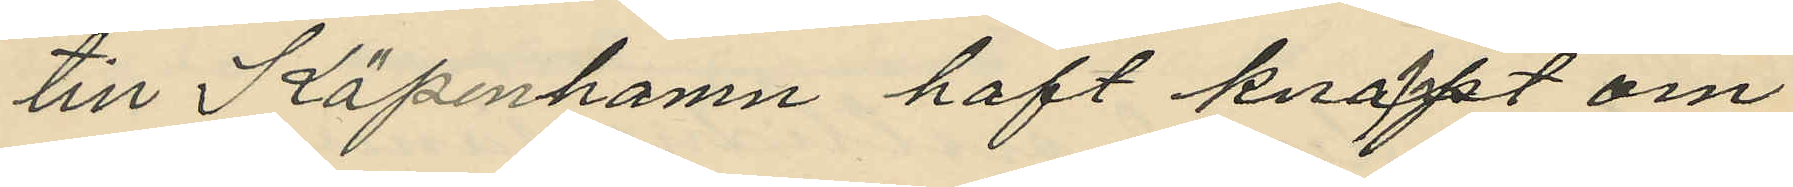till Köpenhamn haft knappt om
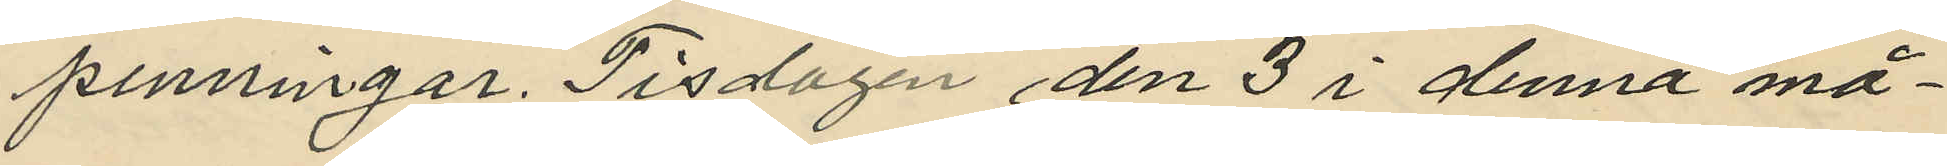penningar. Tisdagen den 3 i denna må¬
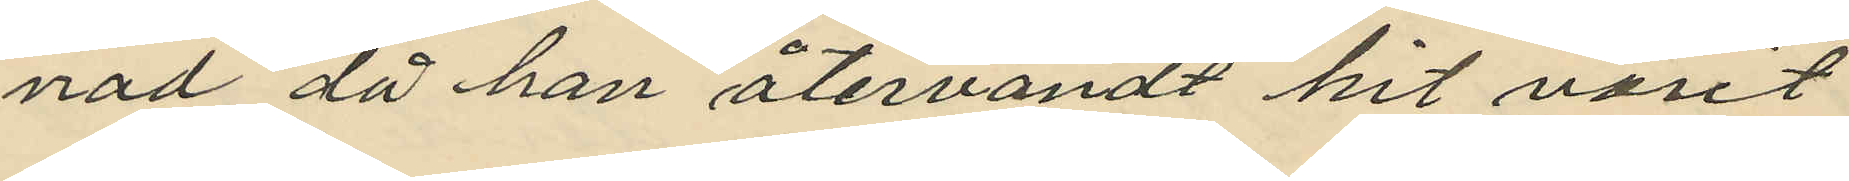nad då han återvändt hit varit
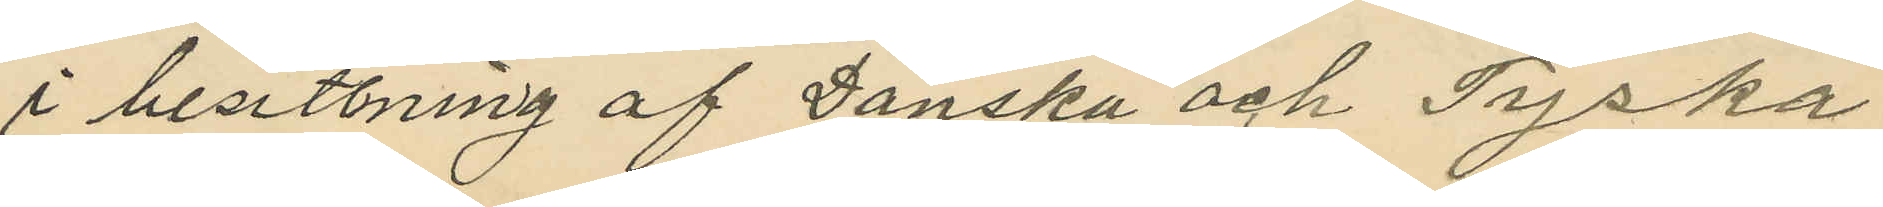i besittning af Danska och Tyska
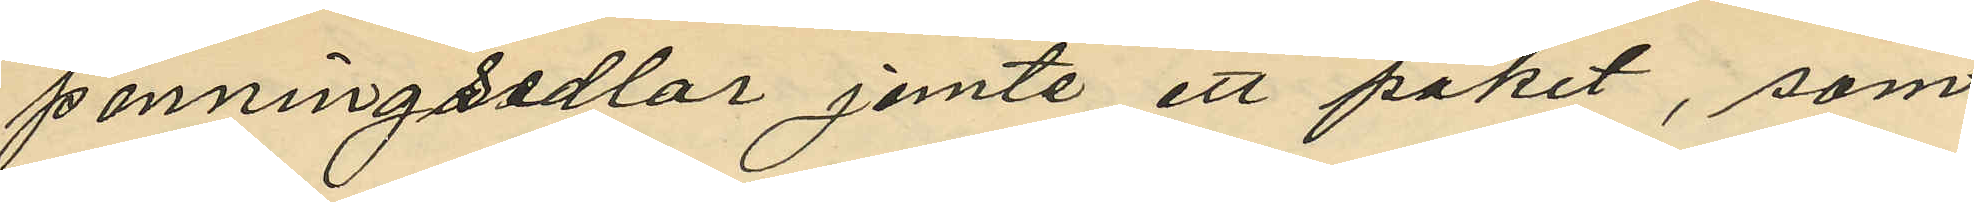penningsedlar jemte ett paket, som
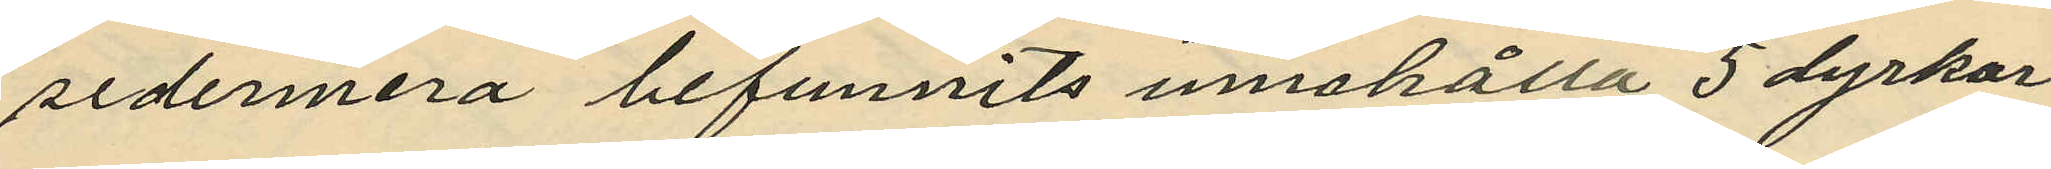sedermera befunnits innehålla 5 dyrkar.
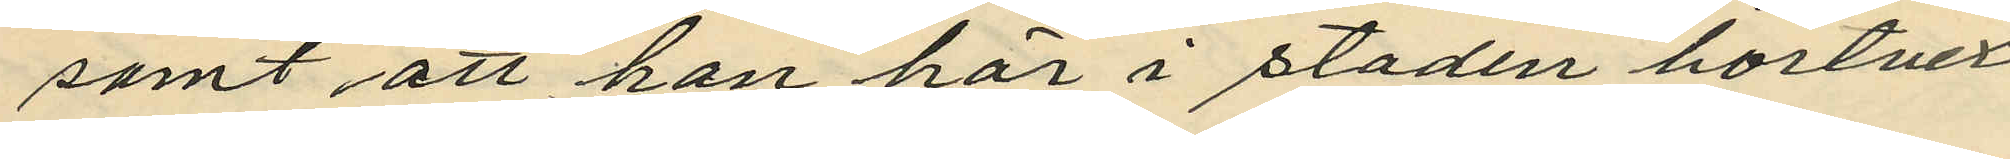samt att han här i staden bortvex¬
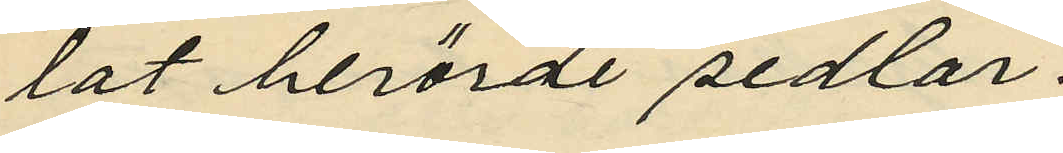lat berörde sedlar.
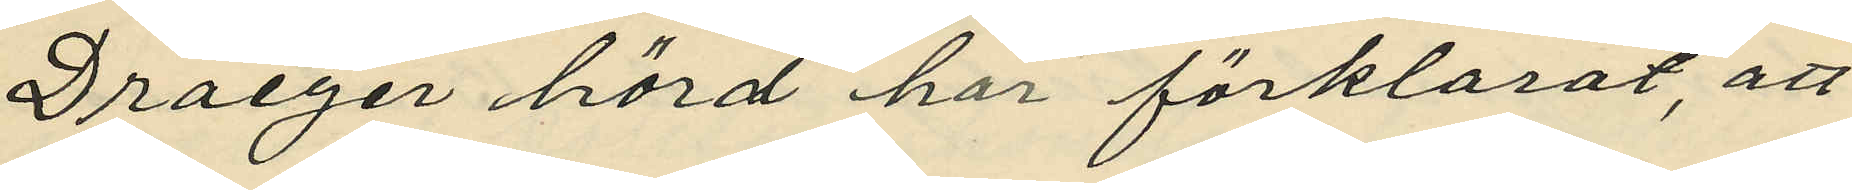Draeger hörd har förklarat, att
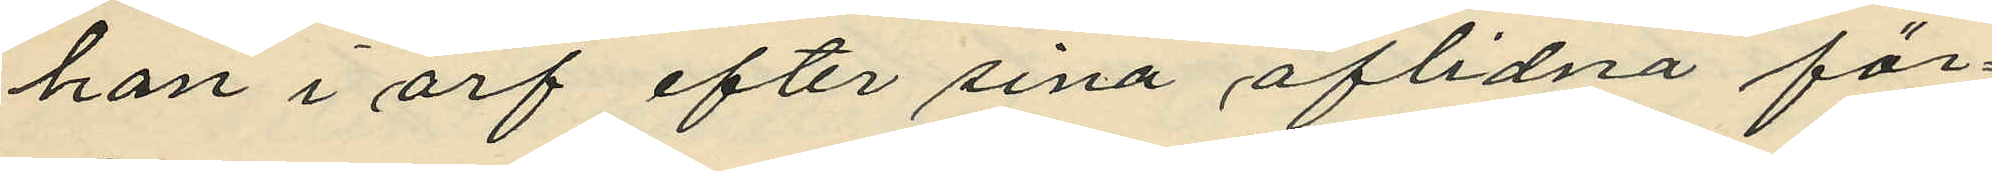han i arf efter sina aflidna för¬
